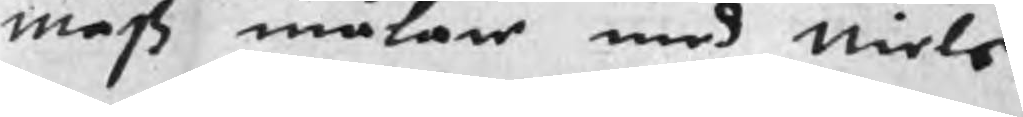mats målare med Niels
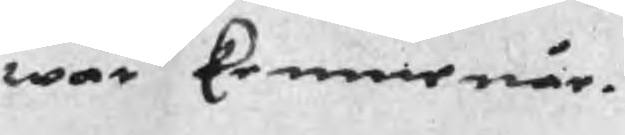war kemmenär.
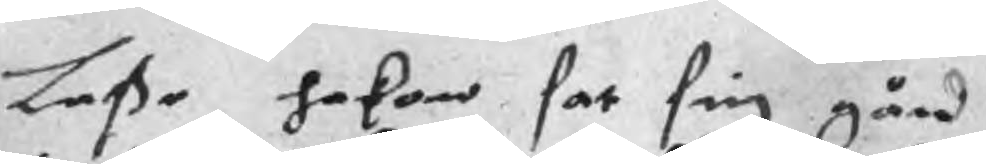Laße hakon sat sig gård
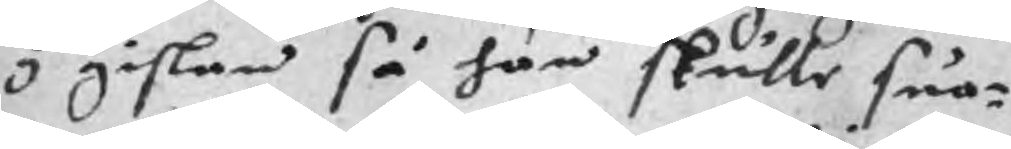y gåslan så han skulle suo¬
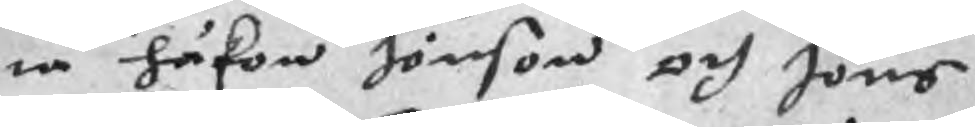ta håkon Jönson och Jöns
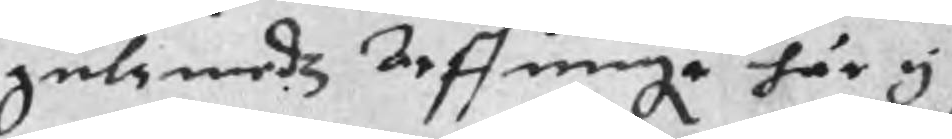gulzmedz Arffuinge här y
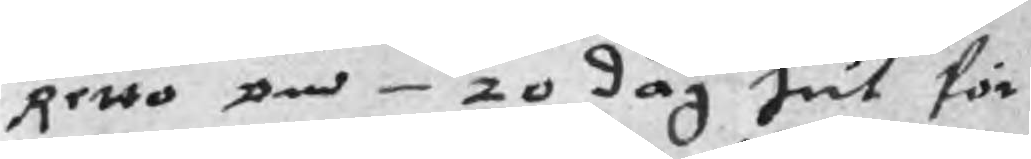Retto på 20 dag Jul för
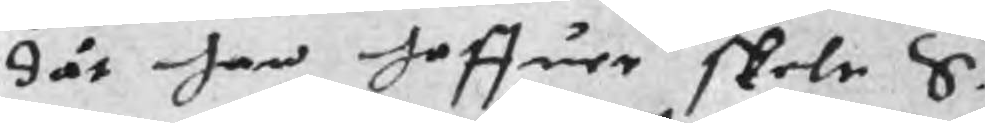dät han haffuer skele S.
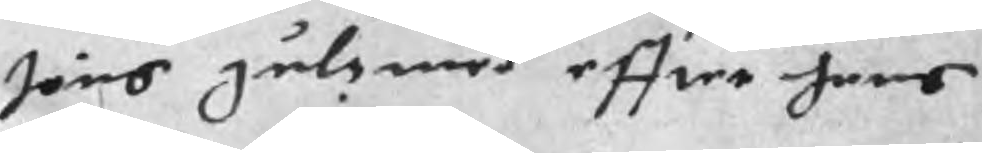Jöns gulsmed effter hans
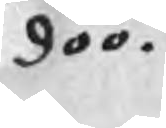döö.
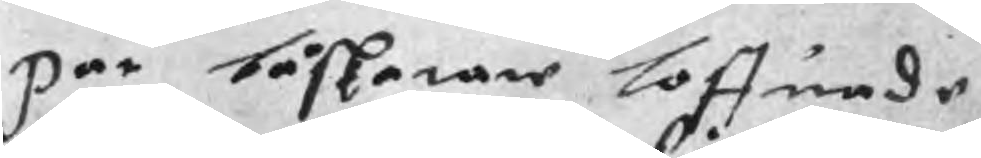Par båskatare loffuade
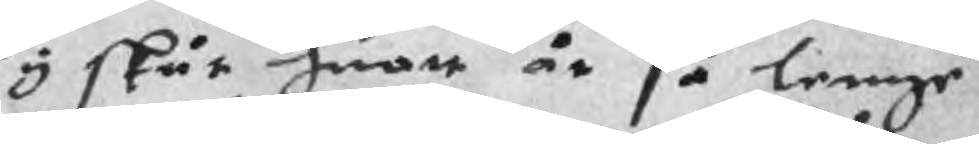y skät huart år så lenge
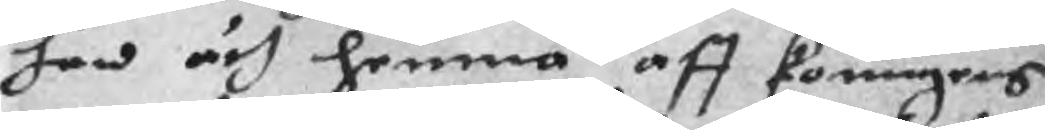han ärh hemma aff koungens
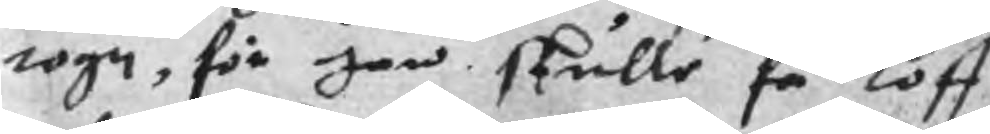togn, för han skulle få loff
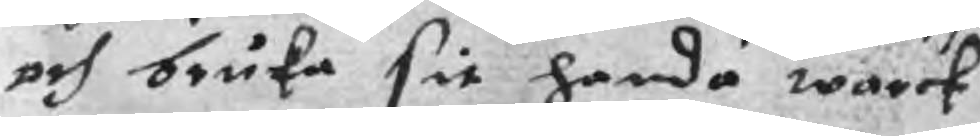och bruka sit handa warck
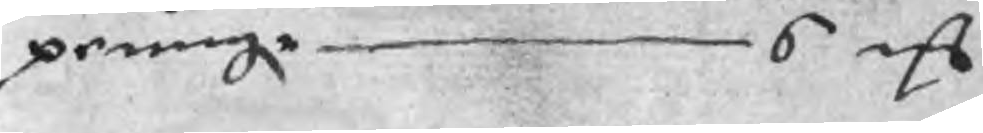peningr 6 mC
